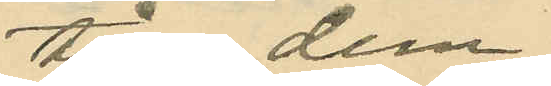till dem
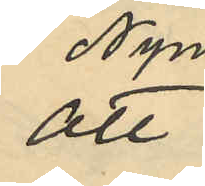att
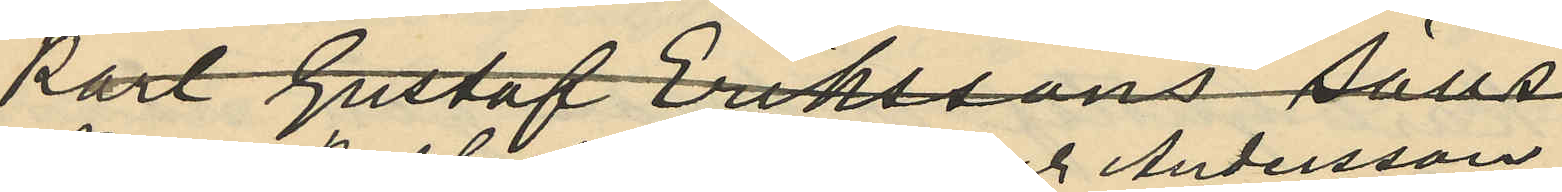Nyman, Karl Gustav Eriksson och Andersson
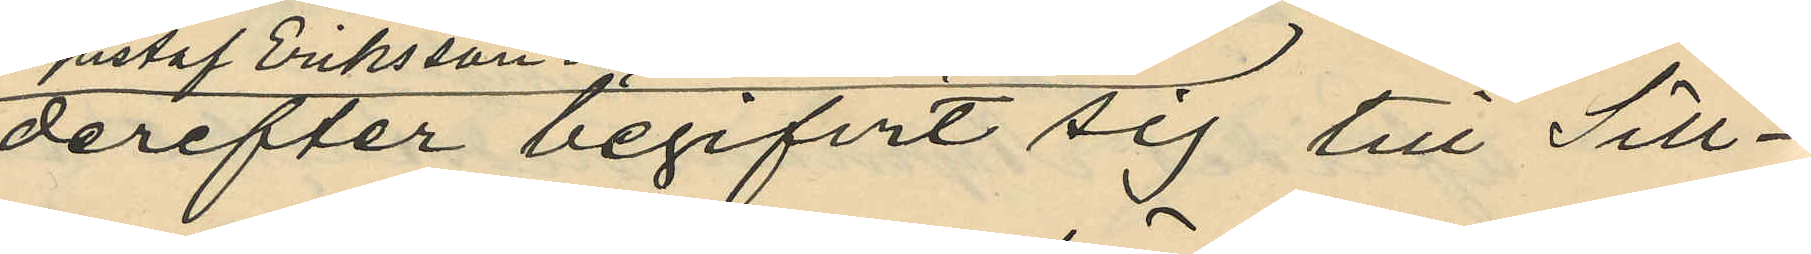derefter begifvit sig till Sill¬
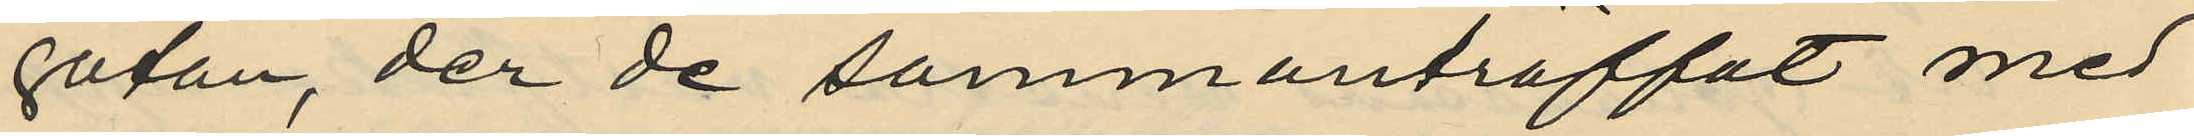gatan, der de sammanträffat med
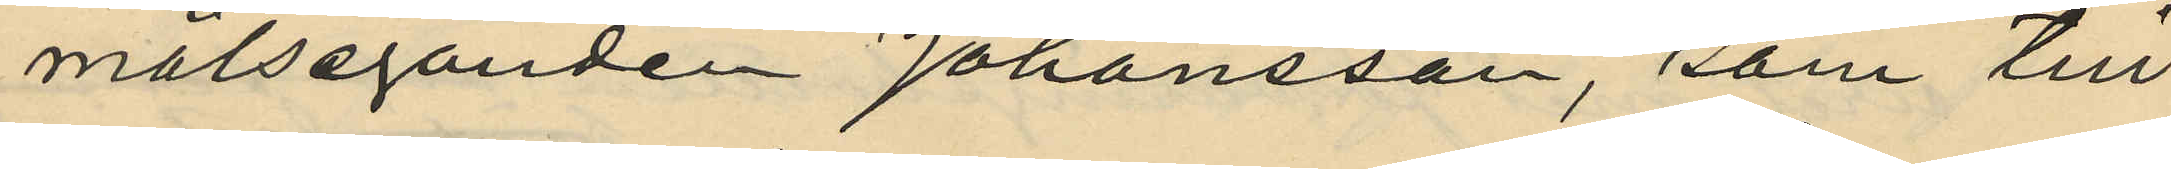målseganden Johansson, som till
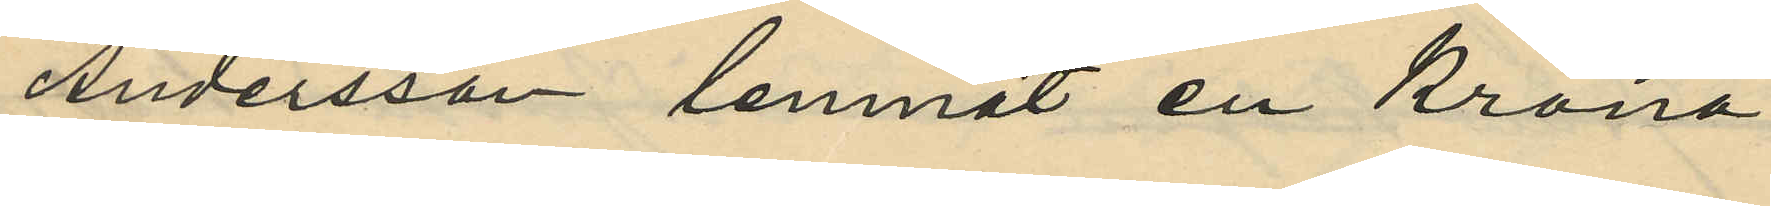Andersson lemnat en Krona
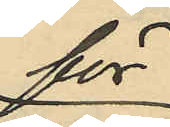för
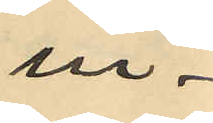in¬
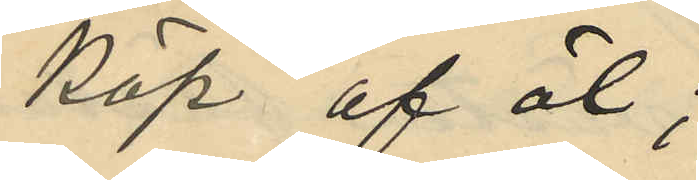köp af öl;
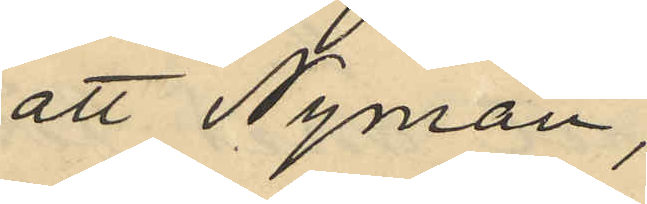att Nyman,
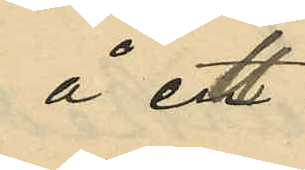å ett
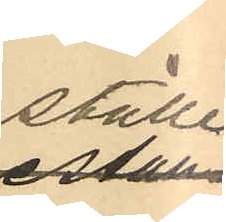ställe
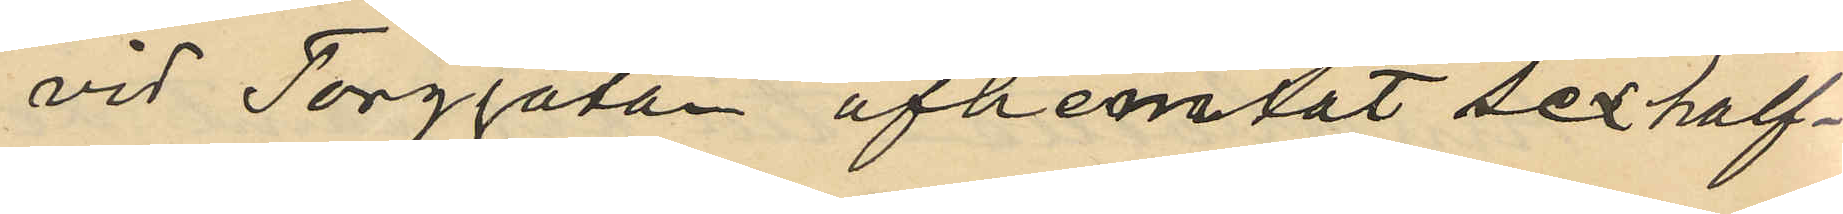vid Torggatan afhemtat sex half¬
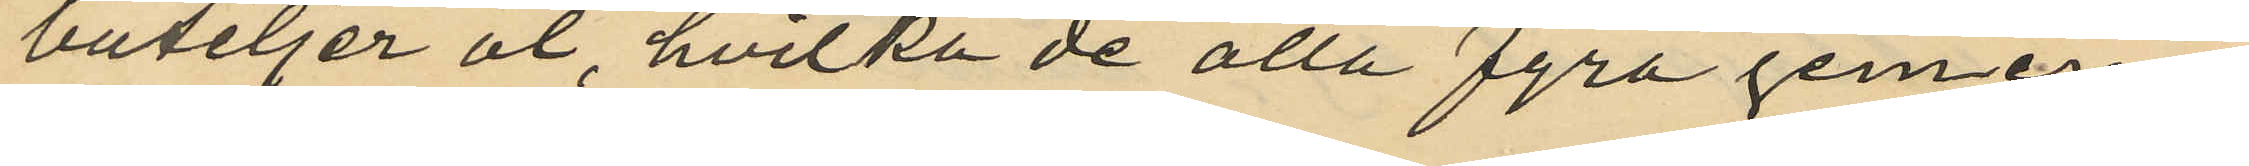buteljer öl, hvilka de alla fyra gemen¬
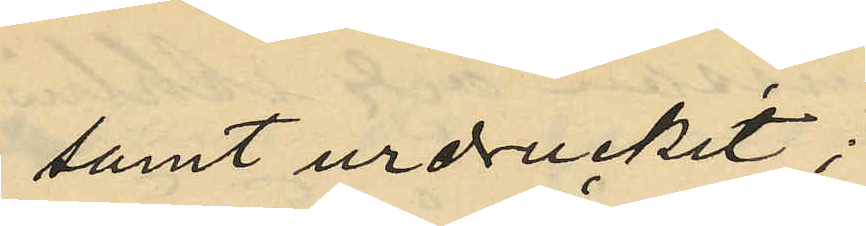samt urdruckit;
